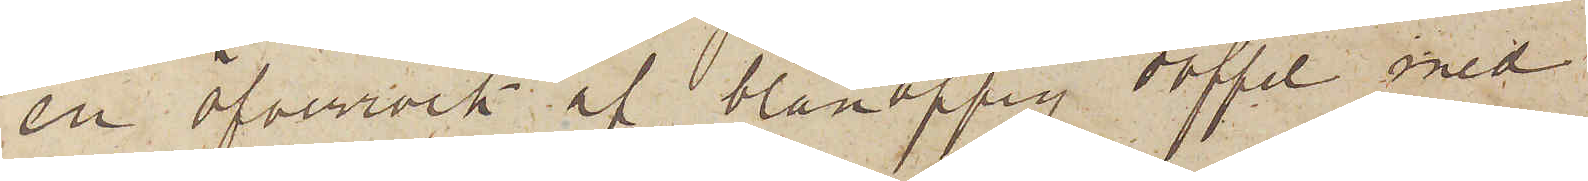en öfverrock af blånoppig doffel med
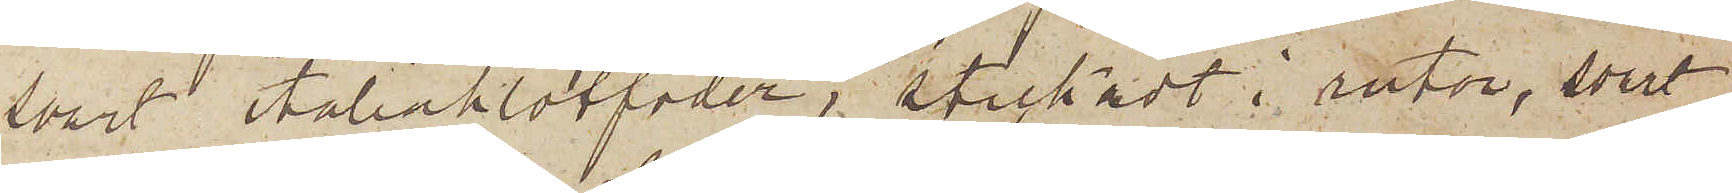svart italiaklotfoder, stickadt i rutor, svart
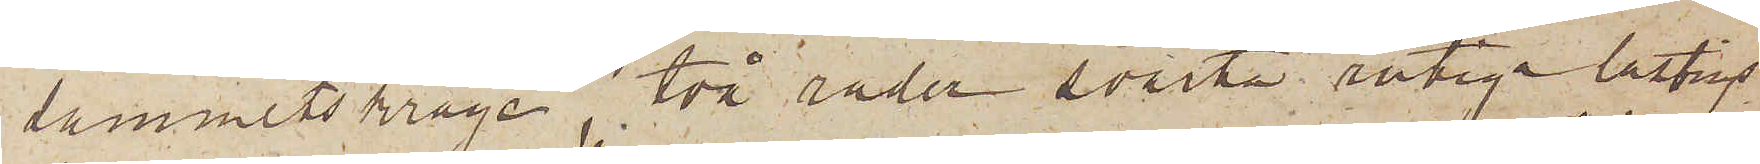sammetskrage, två rader svarta rutiga lastings¬
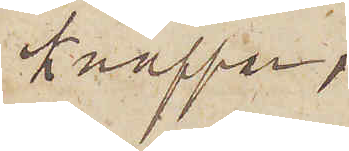knappar,
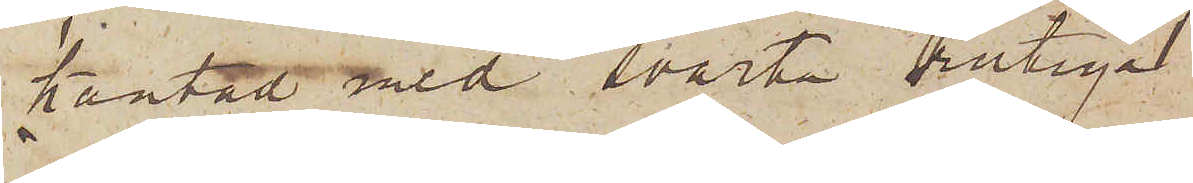kantat med svarta rutiga
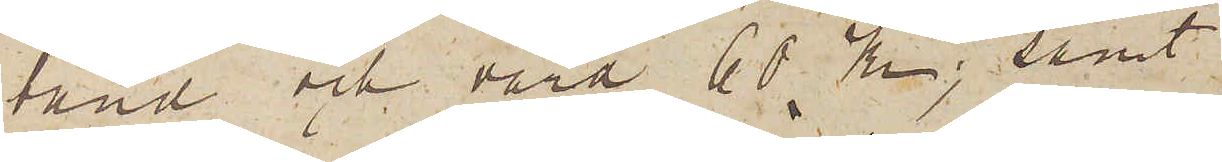band och värd 60 Kr; samt
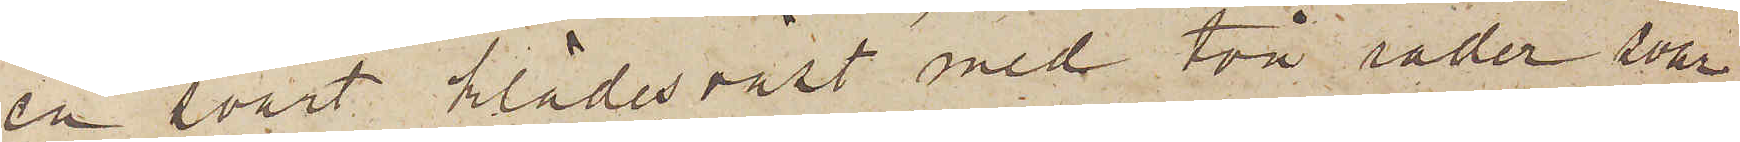en svart klädesväst med två rader svar¬
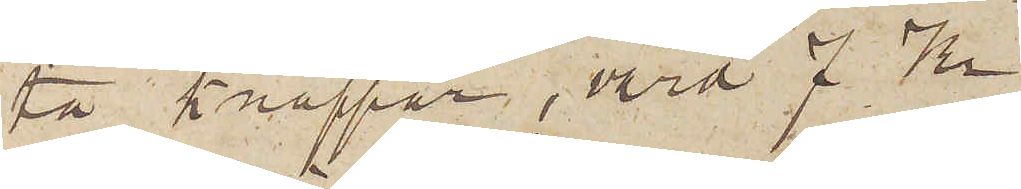ta knappar, värd 7 Kr.
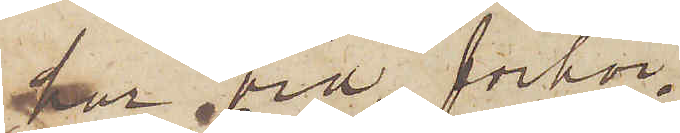har vid förhör
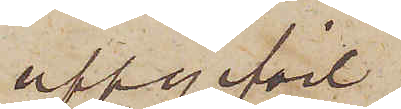uppgifvit
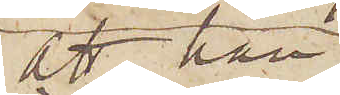att han
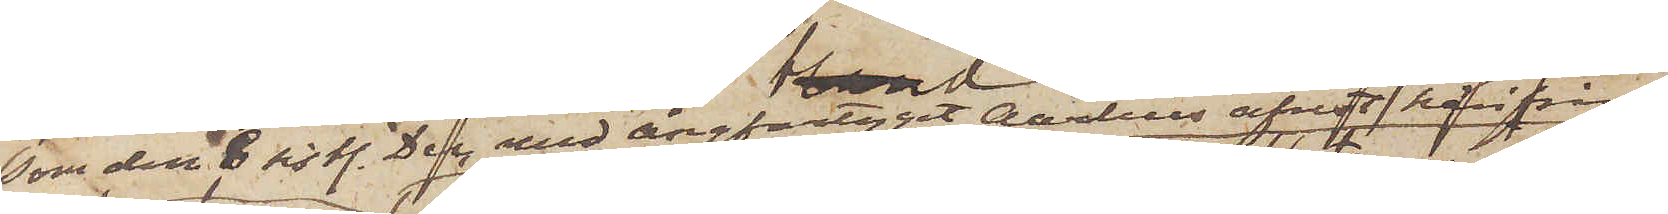som den 8 sistl. Dec med ångfartyget Aarhus afrest härifrån
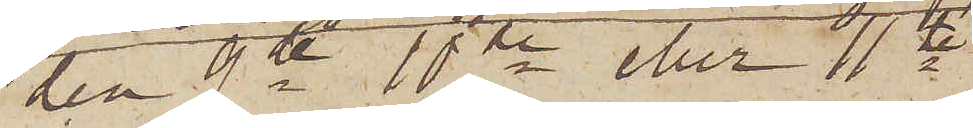den 9de 10de eller 11te
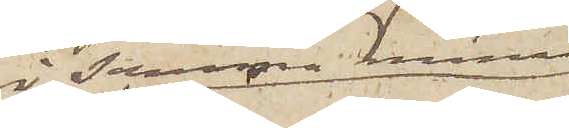i samma månad
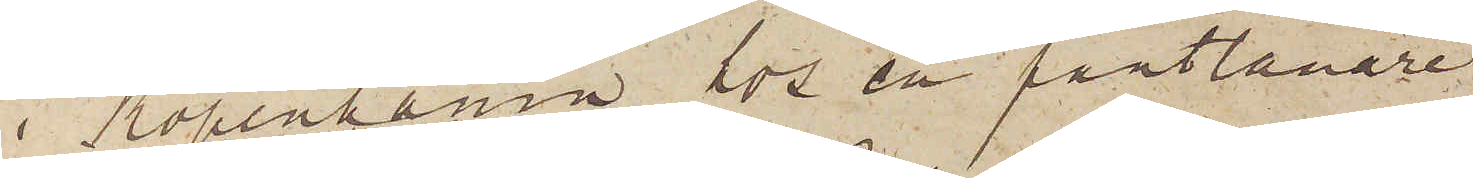i Köpenhamn hos en pantlånare
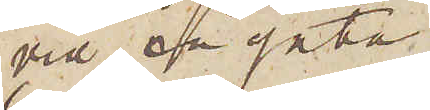vid en gata
